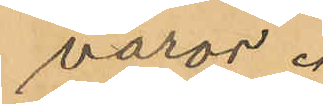varor.
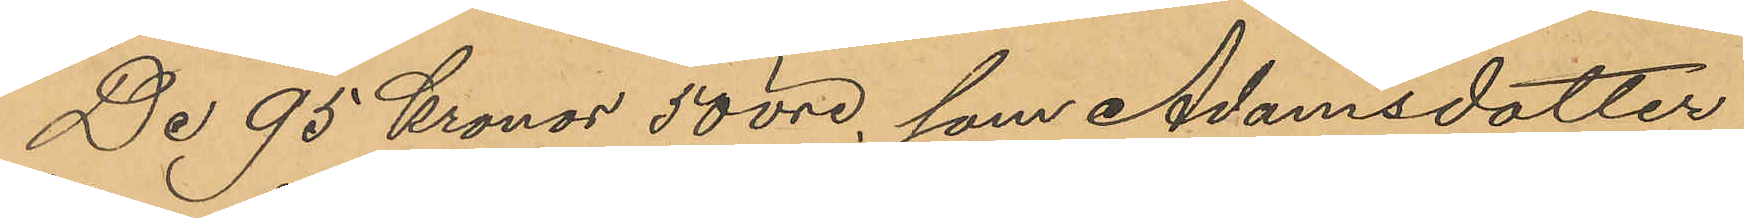De 95 Kronor 50 öre, som Adamsdotter
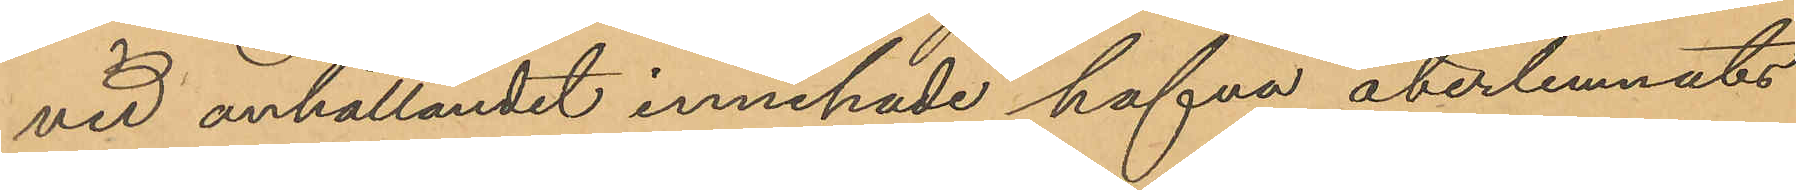vid anhållandet innehade hafva återlemnats
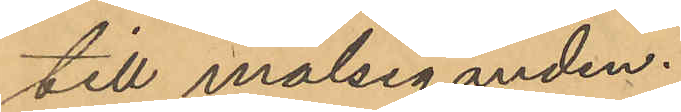till målseganden.
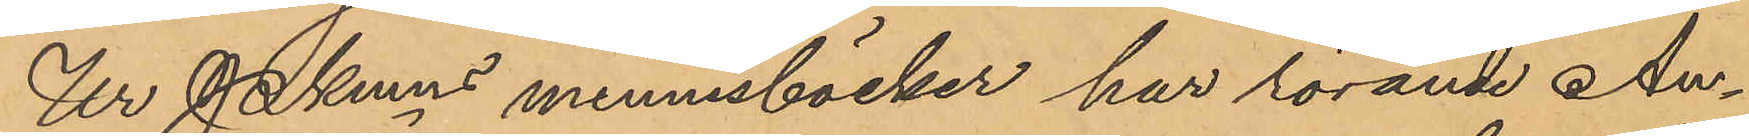Ur Pkmns minnesböcker har rörande An¬
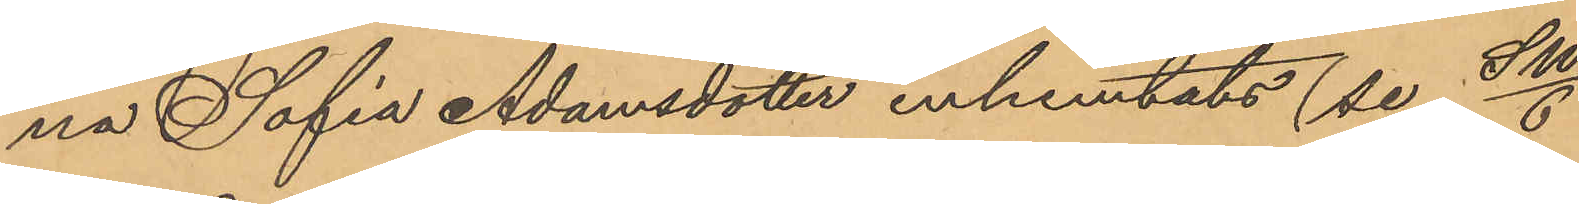na Sofia Adamsdotter inhemtats (se Sw/6)
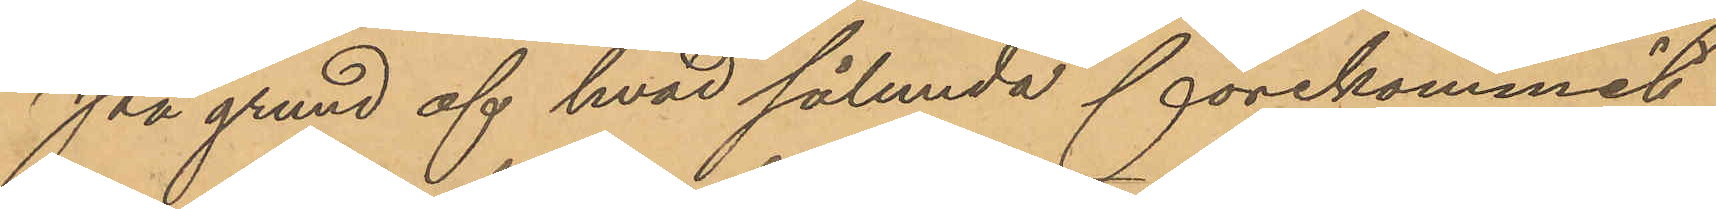På grund af hvad sålunda förekommit
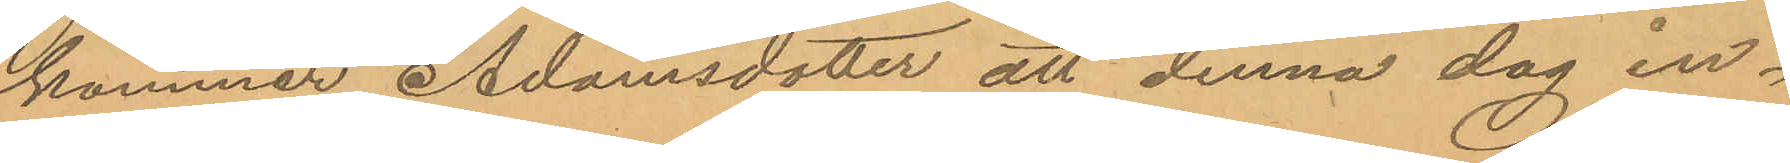kommer Adamsdotter att denna dag in¬
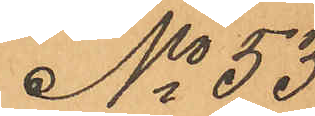för Pkmn inställas. Götetborg den 7 april 1866. 
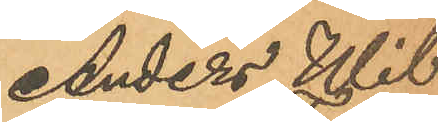No 53 
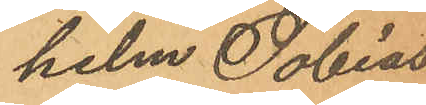Anders Wil¬ 
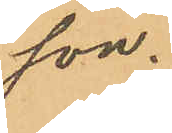helm Tobias¬
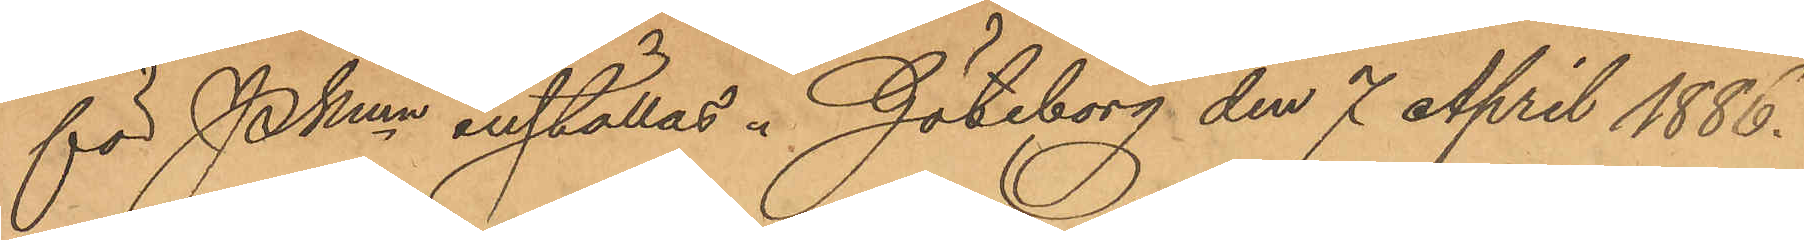son.
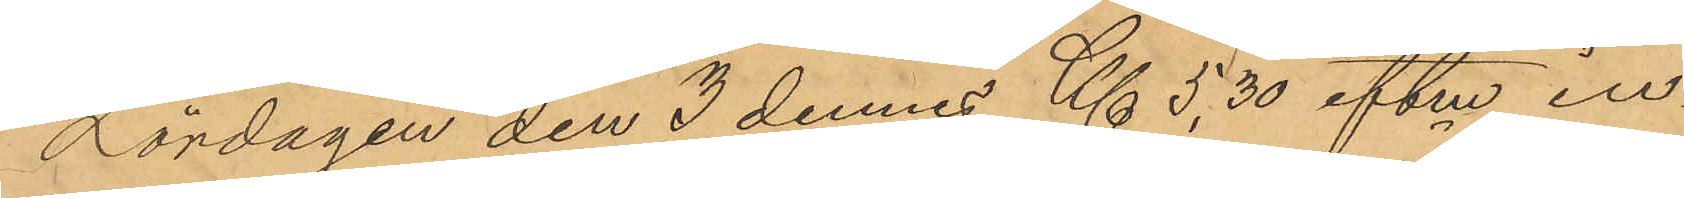Lördagen den 3 dennes Kl 5,30 eftm in¬
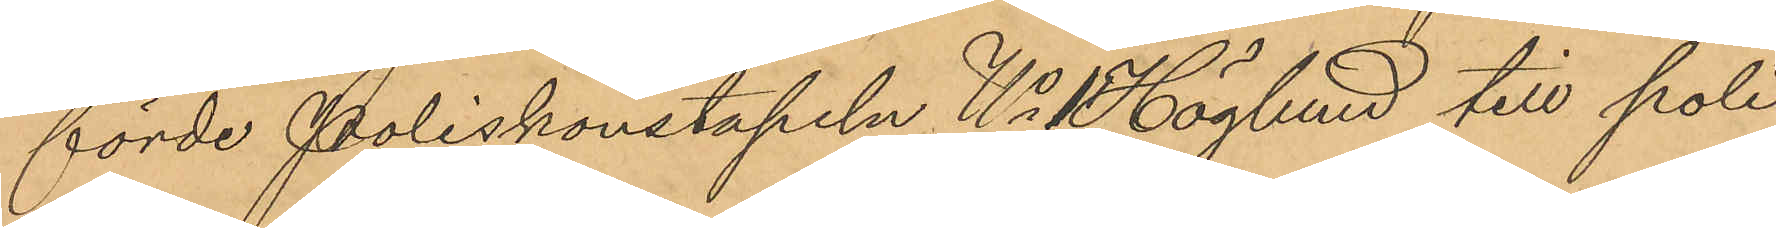förde Poliskonstapeln No 1 Höglund till poli¬
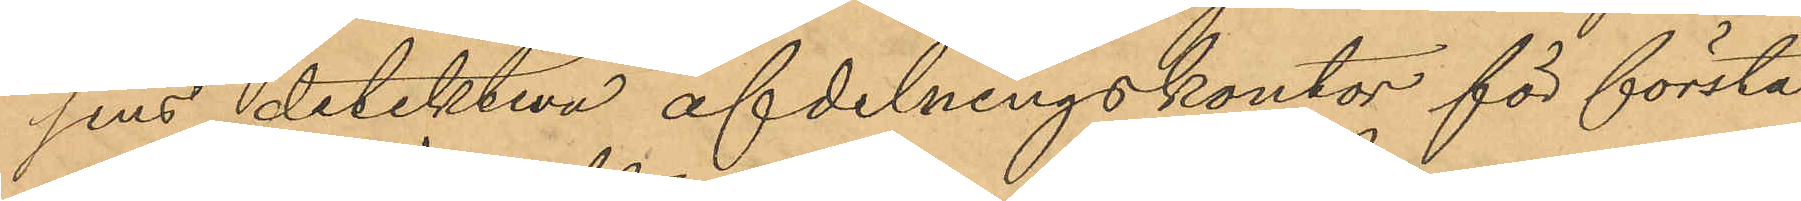sens detektiva afdelningskontor för första
